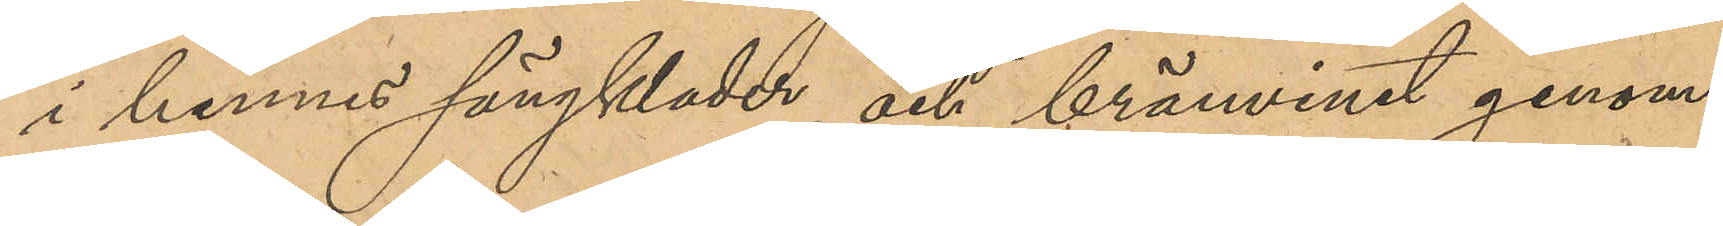i hennes sängkläder och bränvinet genom
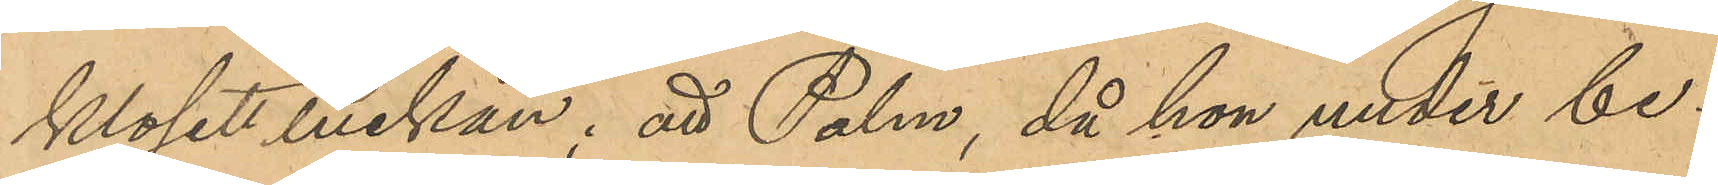klosettluckan; att Palm, då hon under be¬
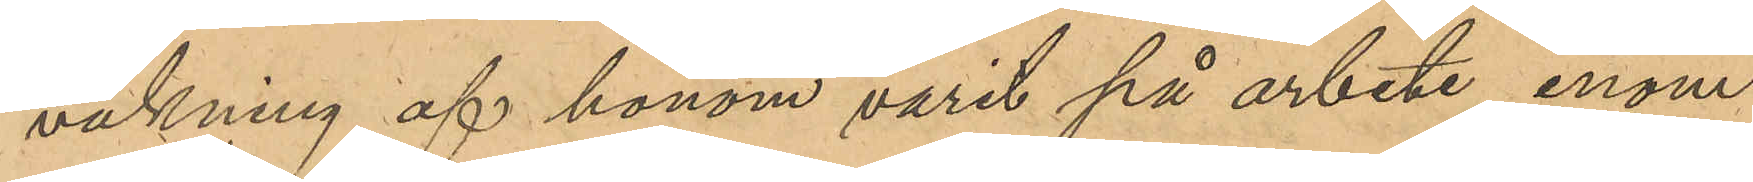vakning af honom varit på arbete inom
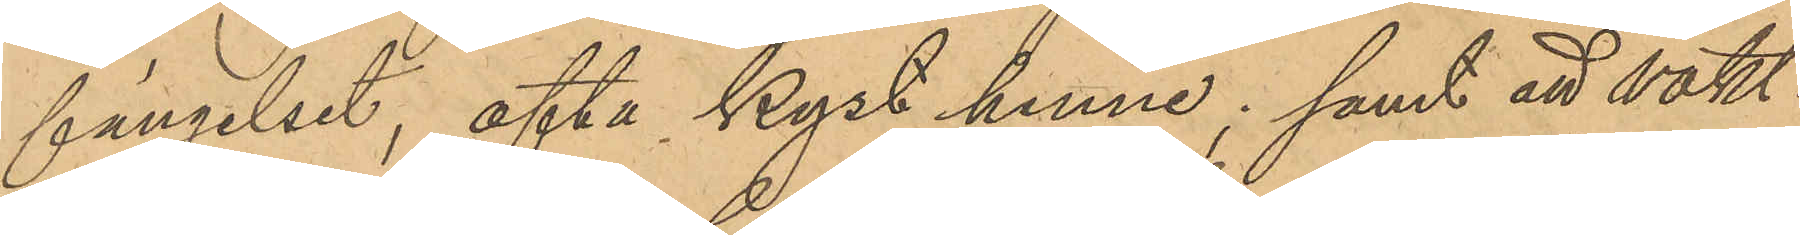fängelset, ofta kyst henne; samt att vakt¬
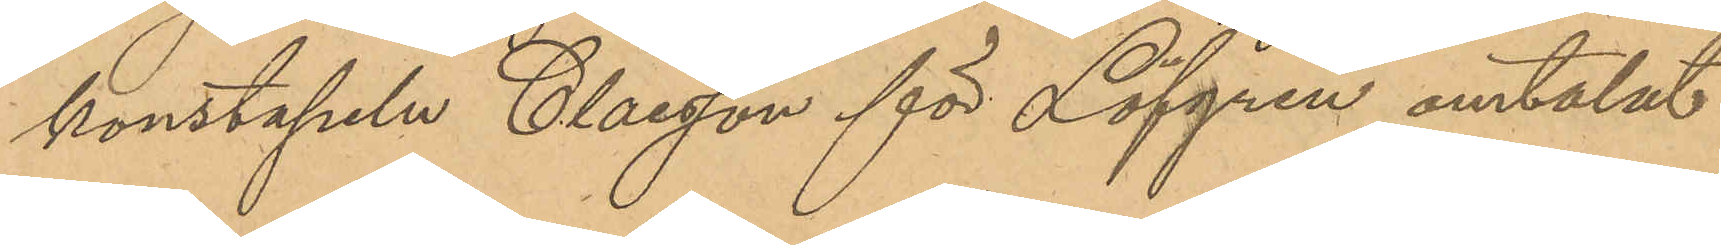konstapeln Claesson för Löfgren omtalat
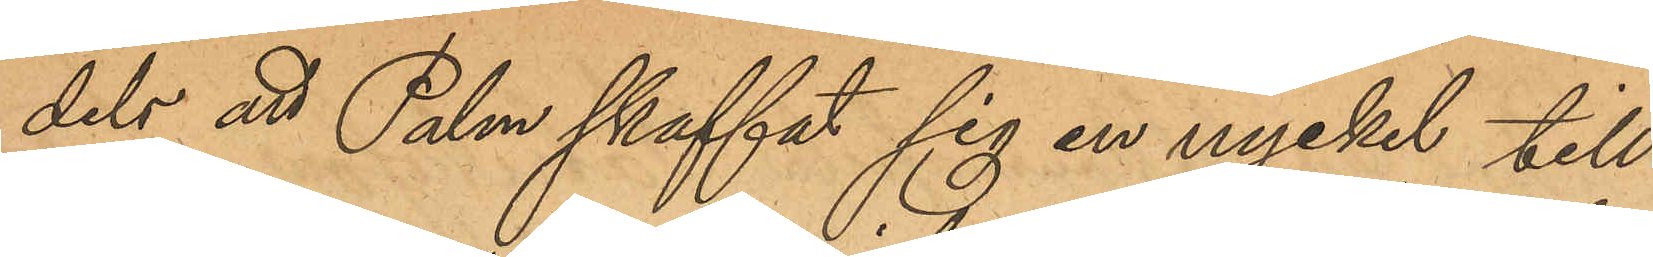dels att Palm skaffat sig en nyckel till
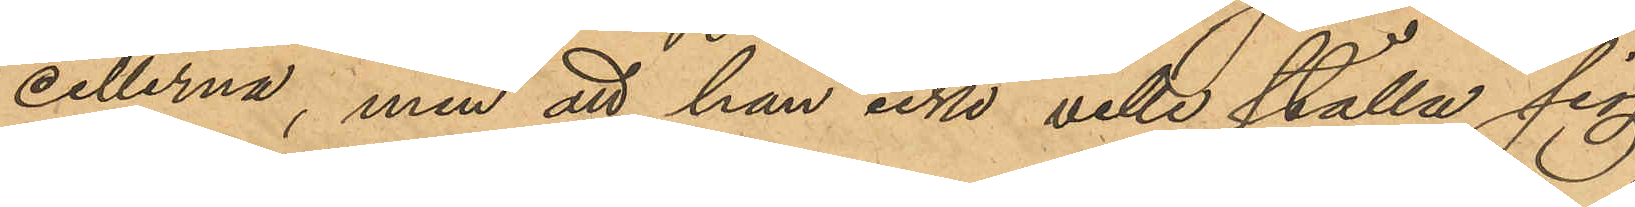cellerna, men att han icke ville ställa sig
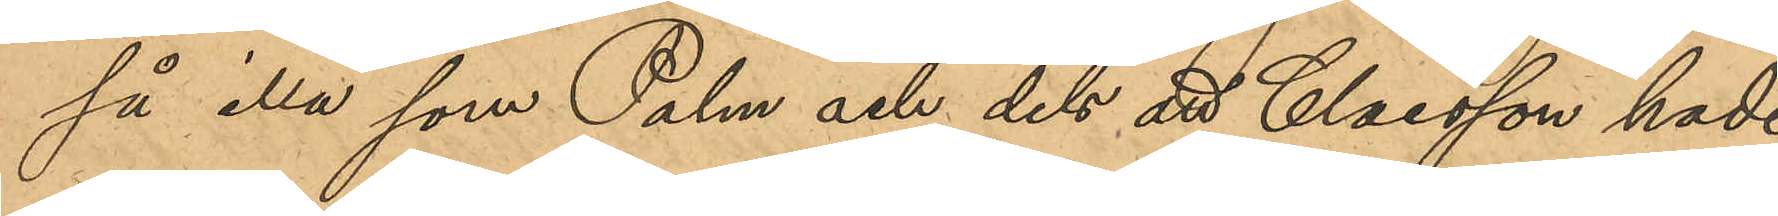så illa som Palm och dels att Claesson hade
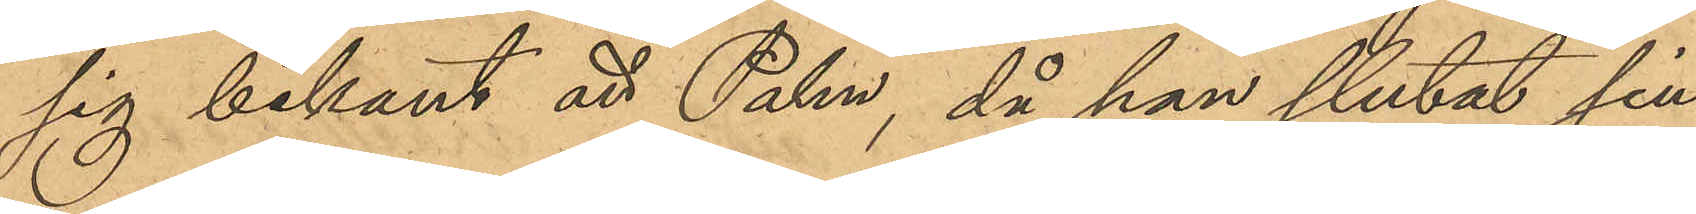sig bekant att Palm, då han slutat sin
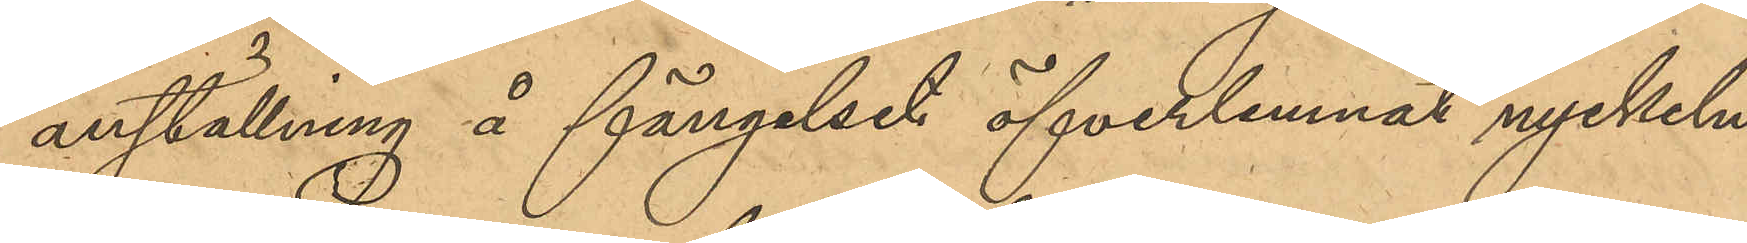anställning å fängelset öfverlemnat nyckeln
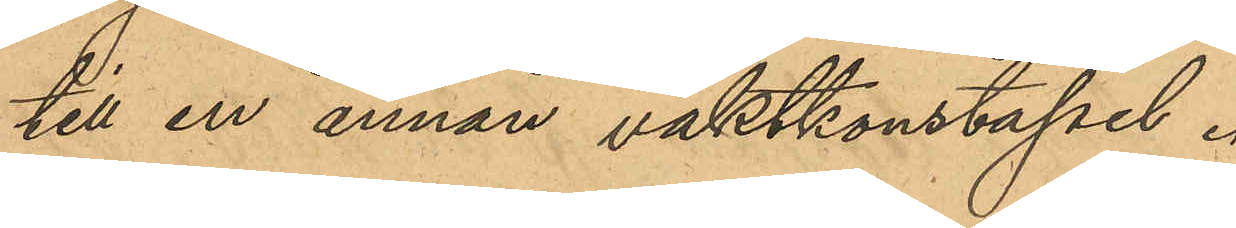till en annan vaktkonstapel.
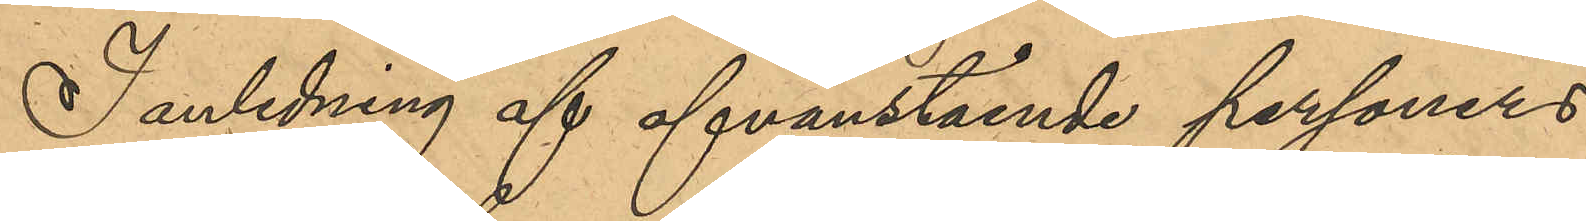I anledning af ofvanstående personers
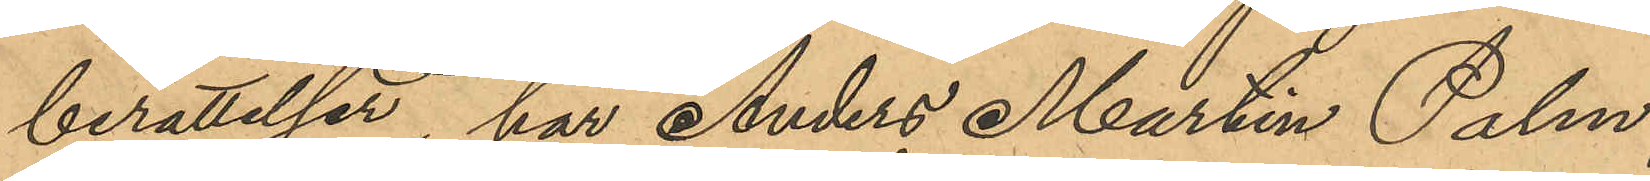berättelse har Anders Martin Palm,
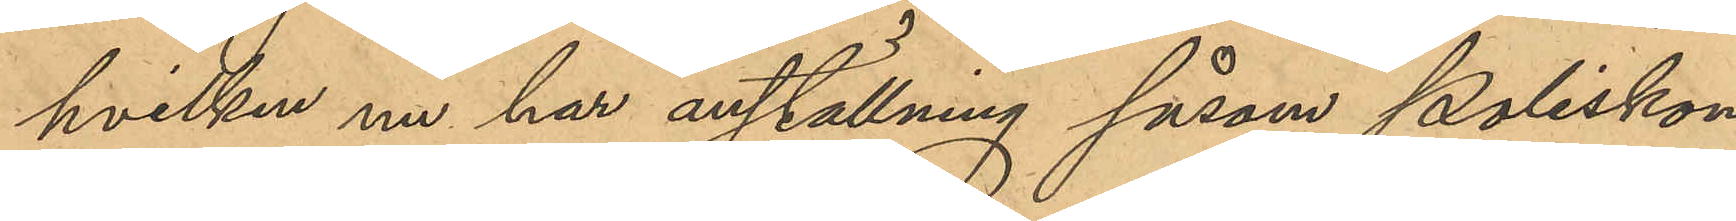hvilken nu har anställning såsom poliskon¬
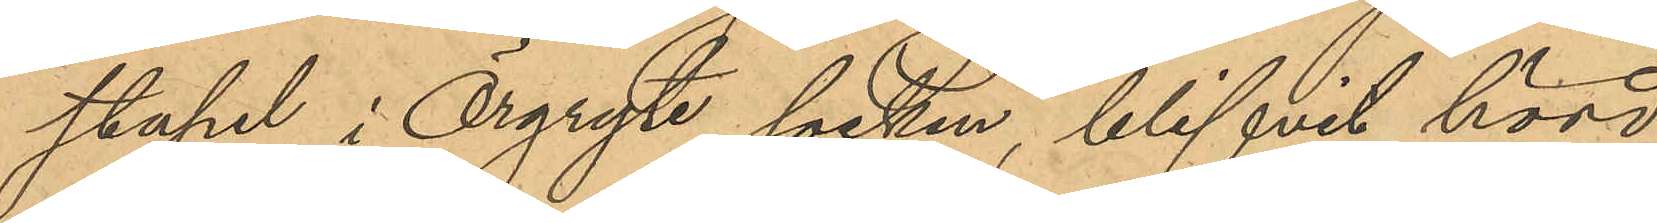stapel i Örgryte socken, blifvit hörd,
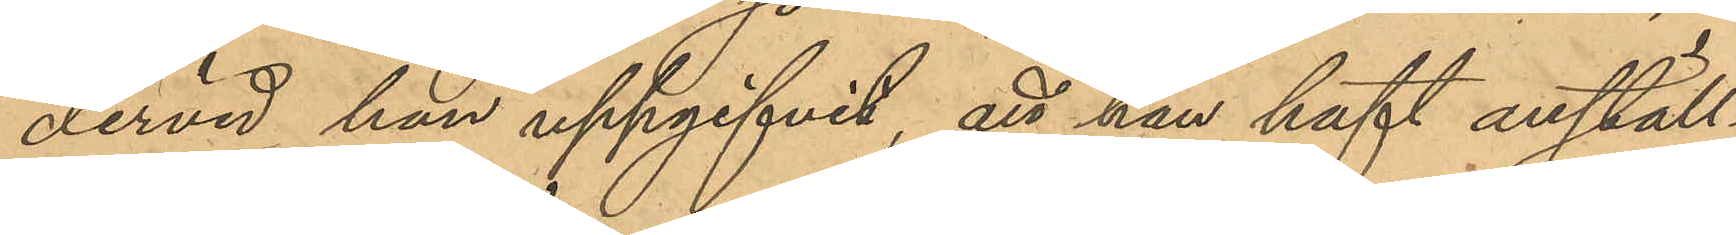dervid han uppgifvit, att han haft anställ¬
